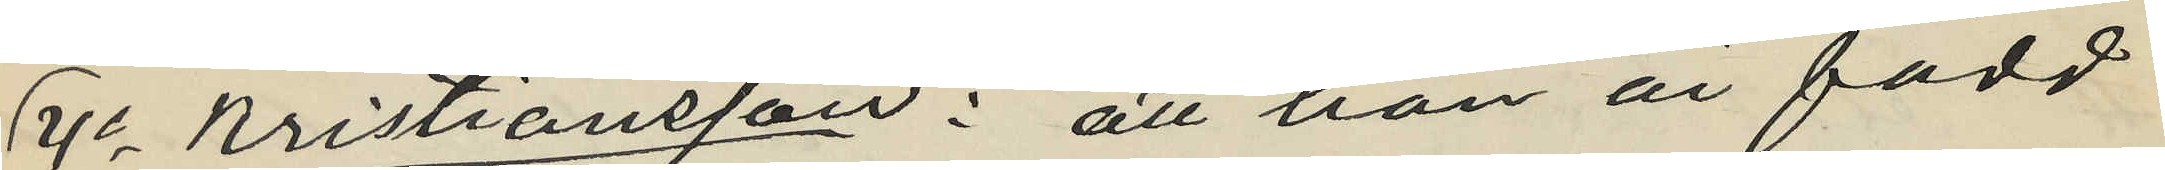4o Kristiansson: att han är född
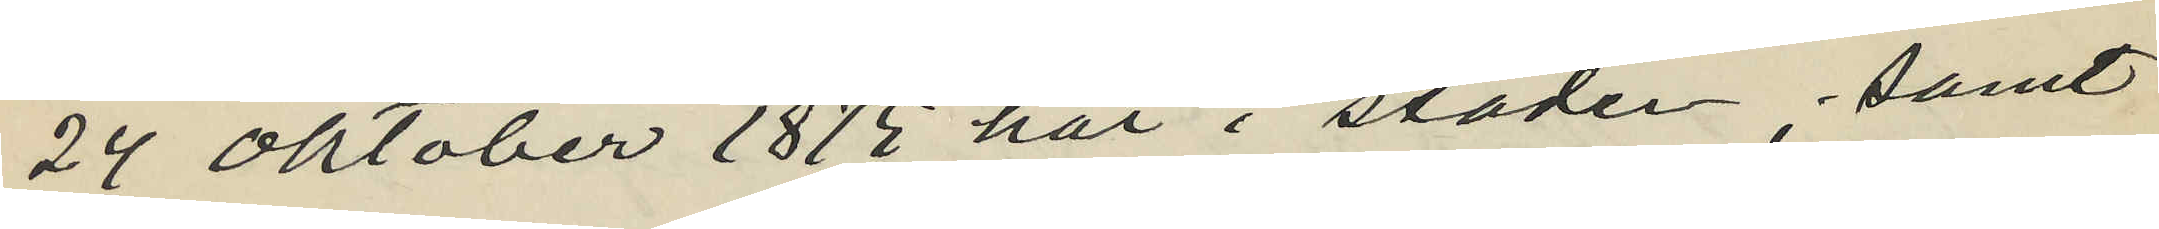24 Oktober 1875 här i staden; samt
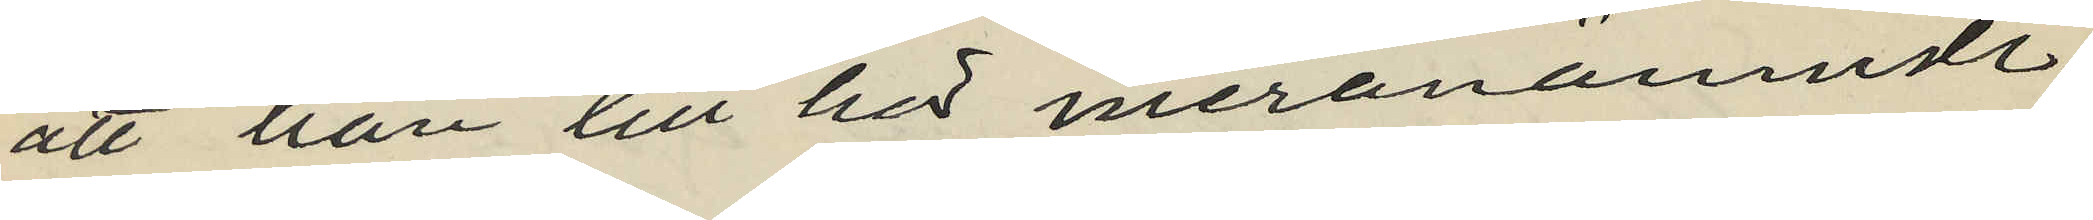att han till hör meranämnde
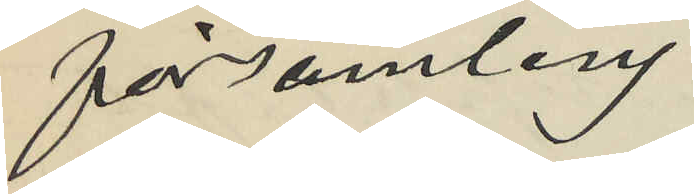församling.
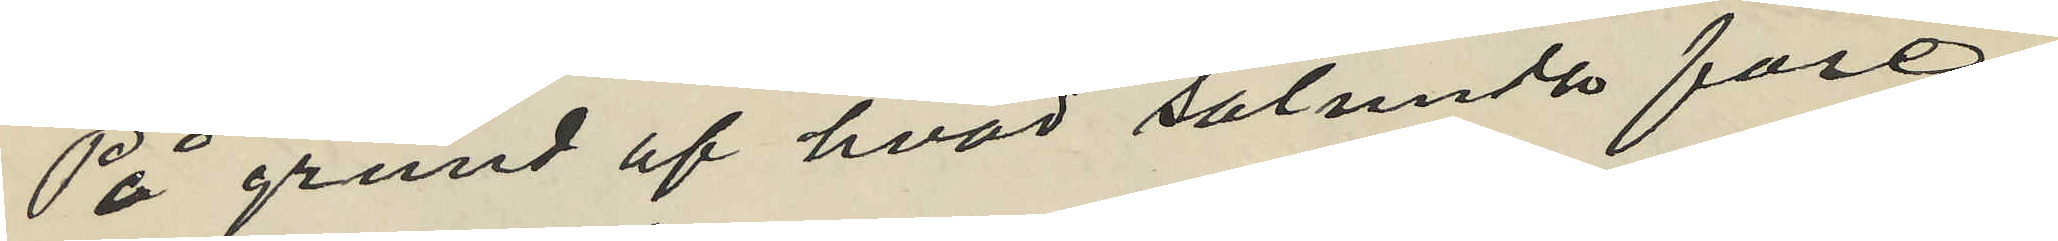På grund af hvad sålunda före¬
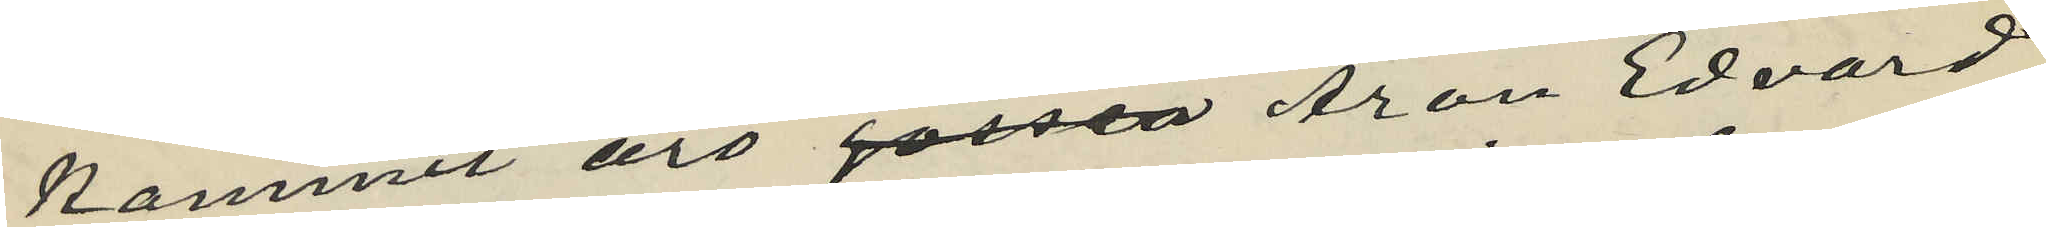kommit äro gossen Aron Edvard
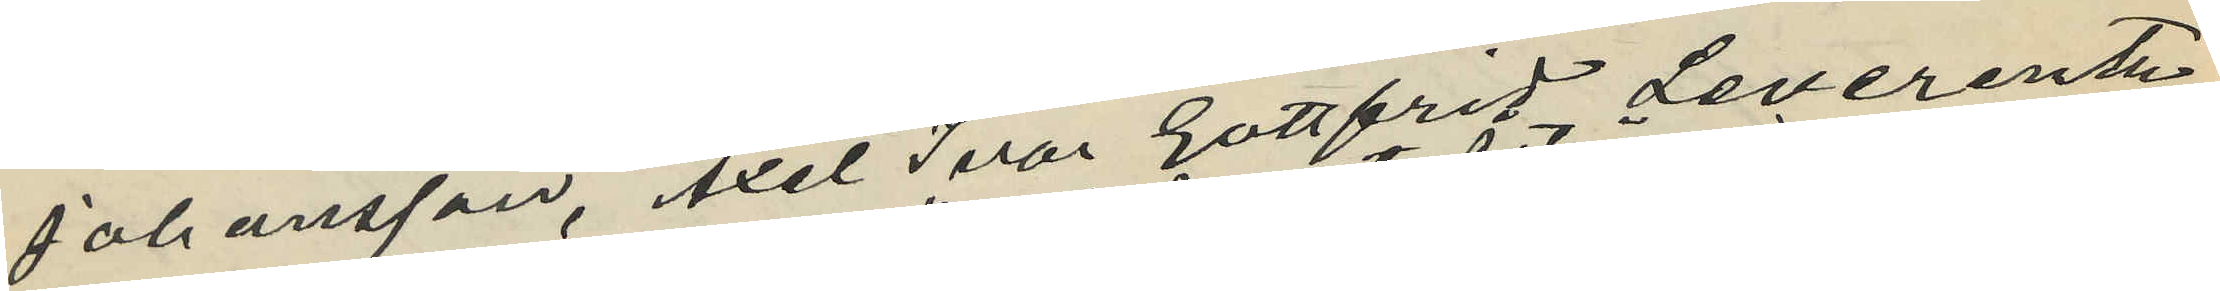Johansson, Axel Ivar Gottfrid Leverentz,
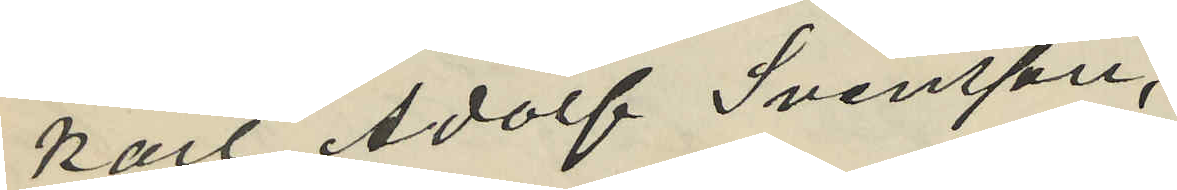Karl Adolf Svensson,
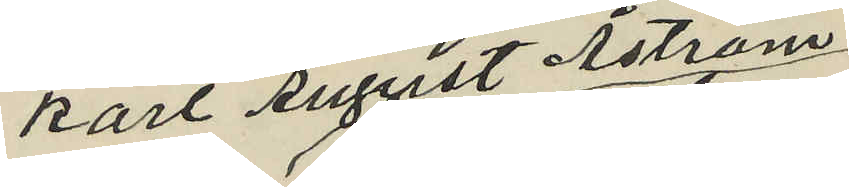Karl August Åström
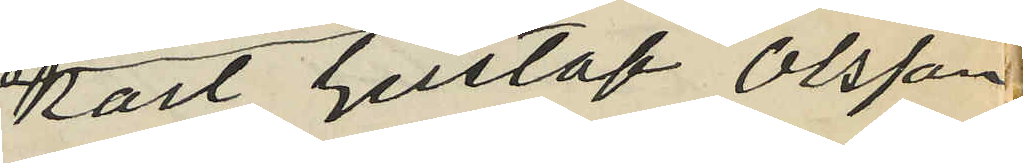Kart Gustaf Olsson
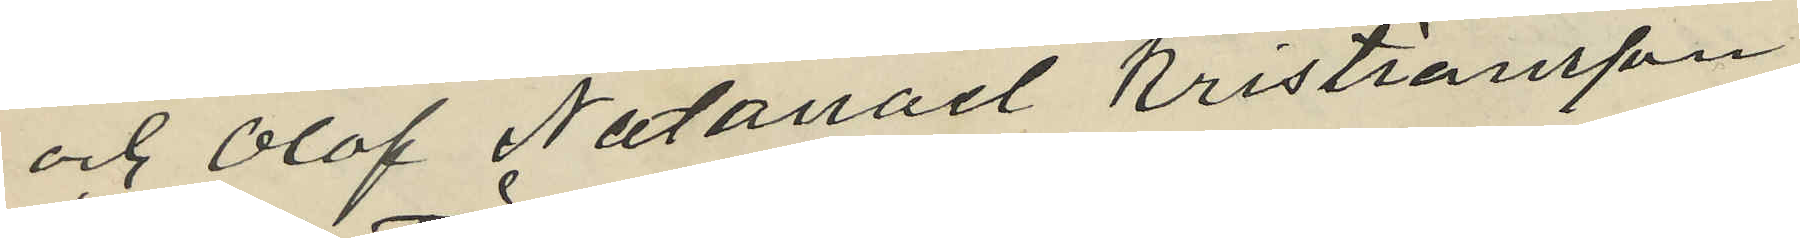och Olof Natanael Kristiansson
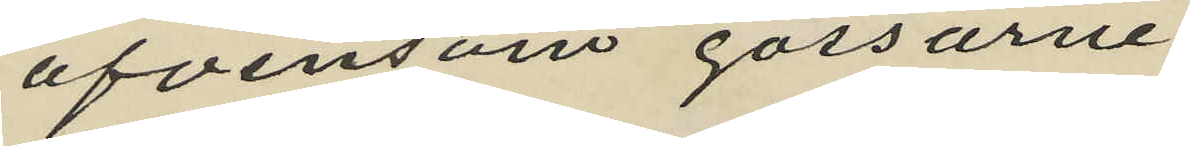äfvensom gossarne
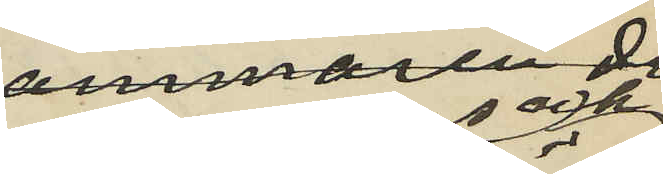Johansson och
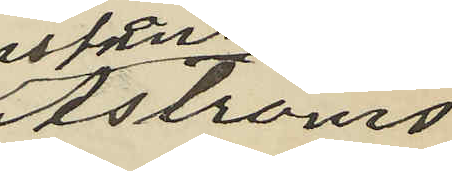Åströms
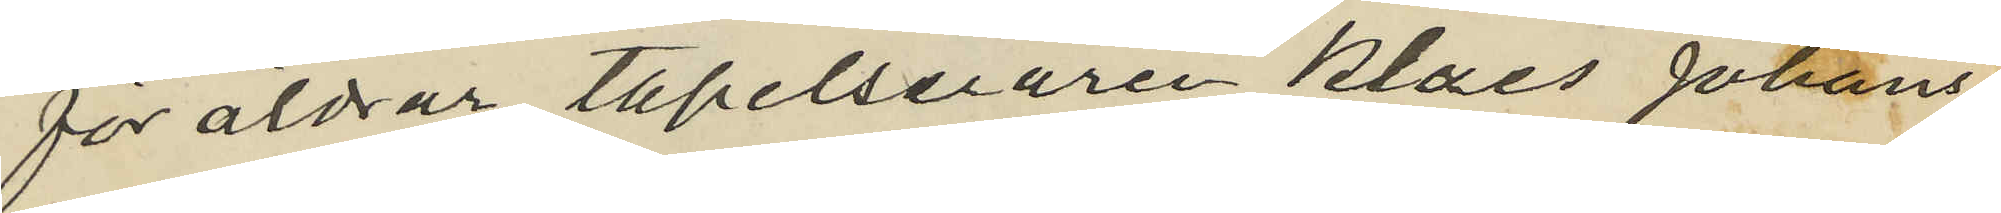föräldrar tapelseraren Klaes Johans¬
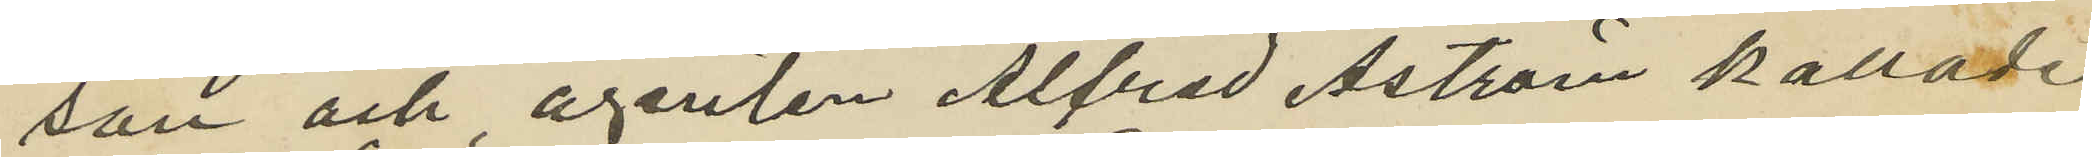son och agenten Alfred Åström kallade
